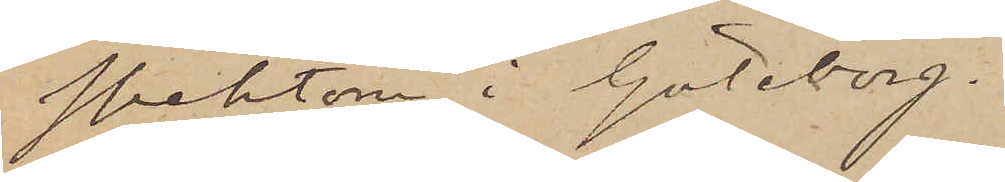spektorn i Göteborg.
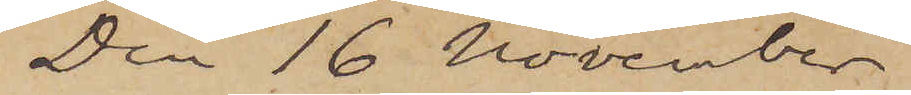Den 16 November
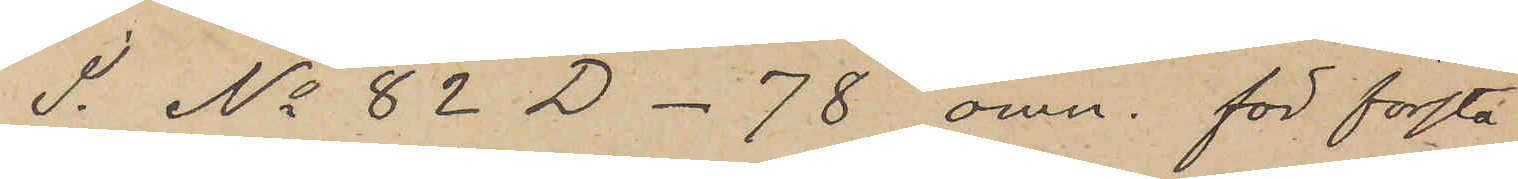I. No 82 D -78 omn. för första
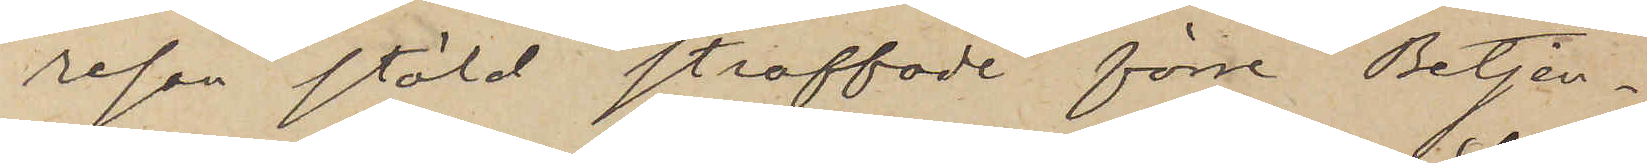resan stöld straffade förre Betjen¬
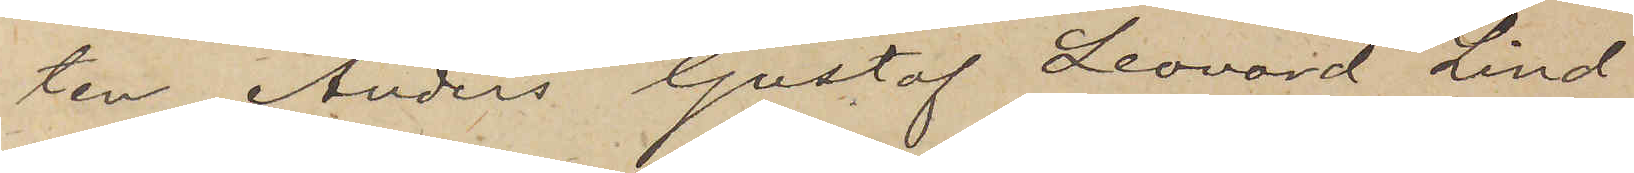ten Anders Gustaf Leonard Lind
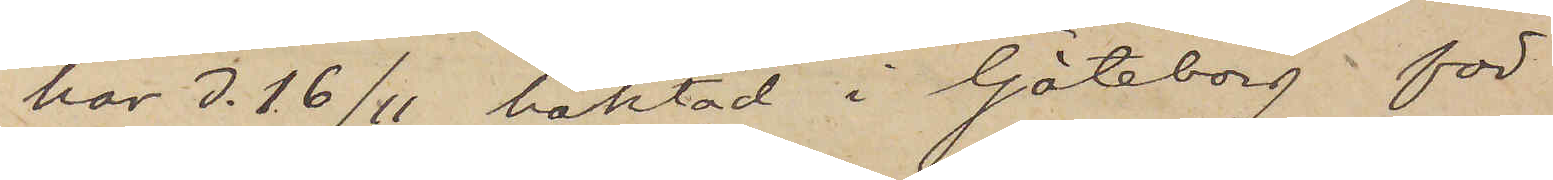har d. 16/11 häktad i Göteborg för
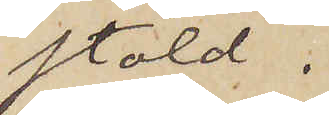stöld.
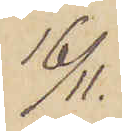16/11.
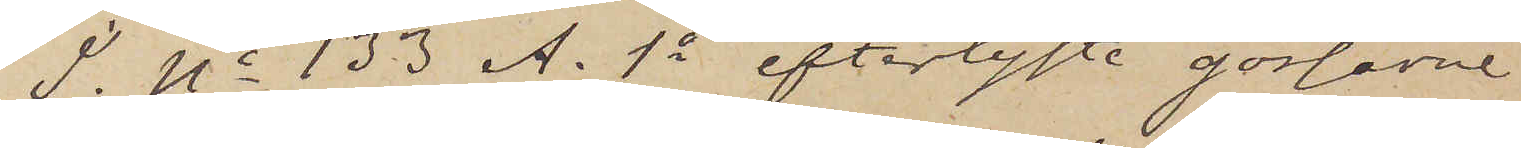I No 133 A. 1o efterlyste gossarne
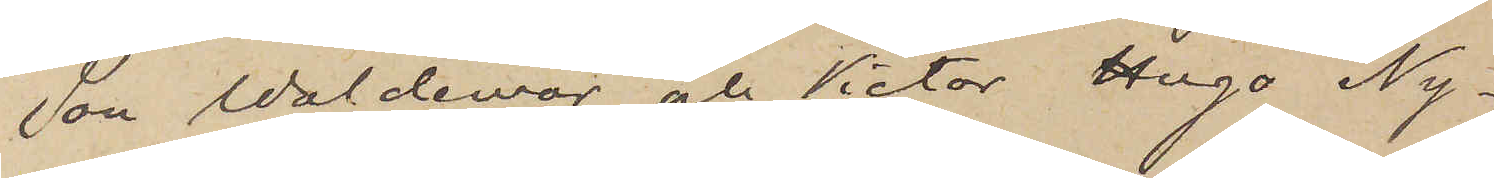Jon Waldemar och Victor Hugo Ny¬
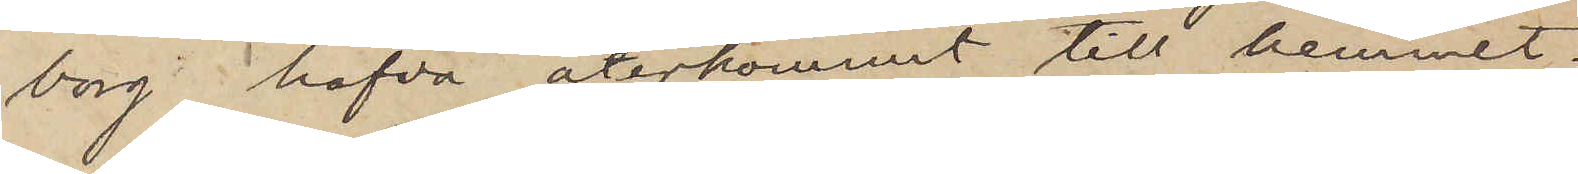borg hafva återkommit till hemmet.
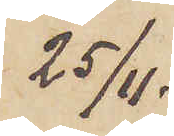25/11.
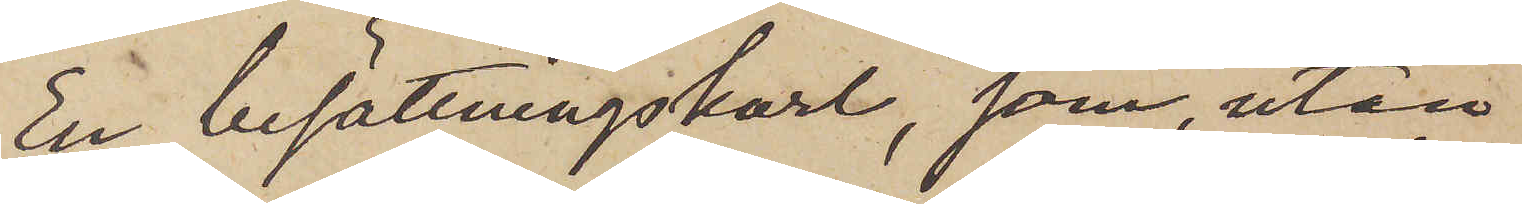En besättningskarl, som utan
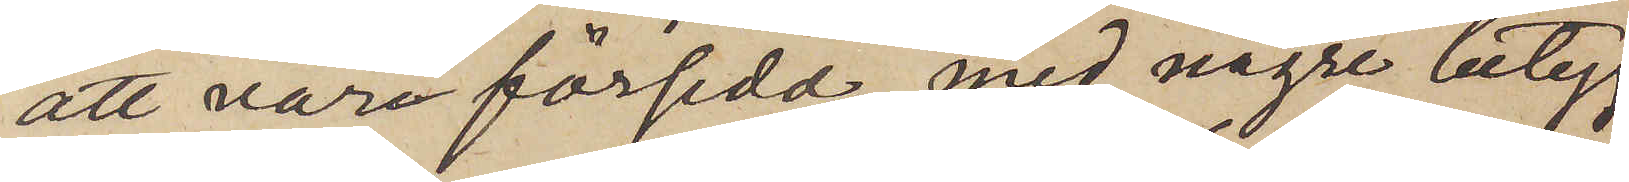att vara försedd med några betyg
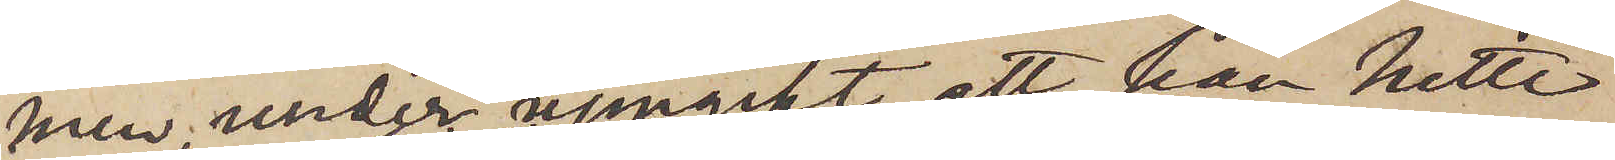men under uppgift att han hette
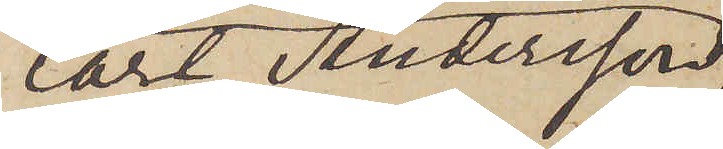Carl Andersson
